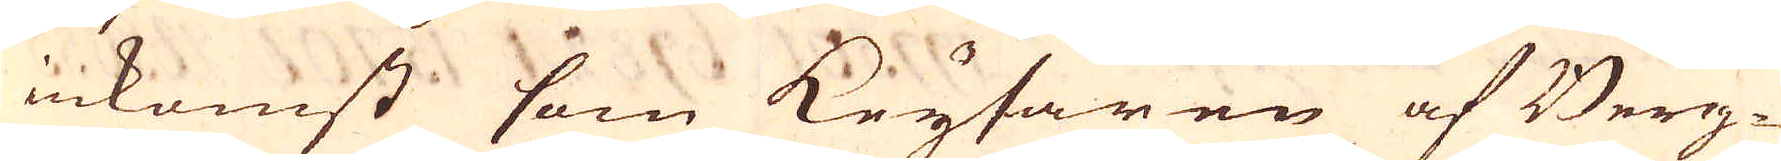inkomst som Keysaren af Berg-
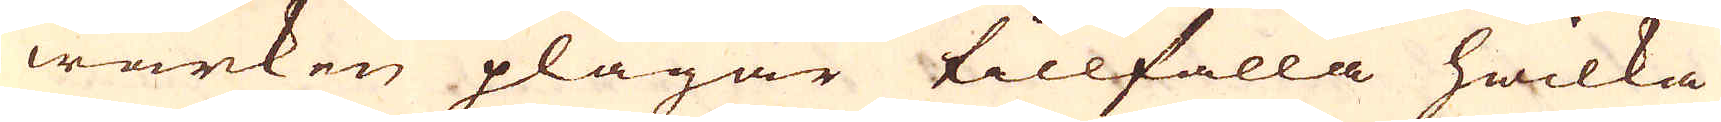wärken plägar tillfalla hwilka
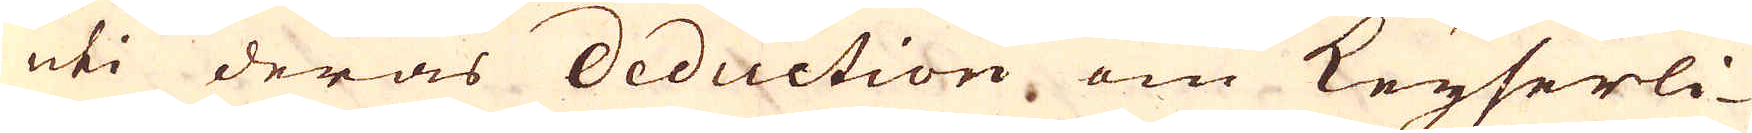uti deras deduction om Keyserli-
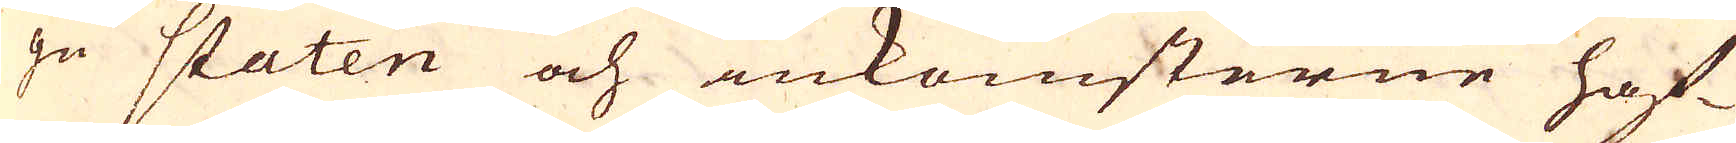ge staten och inkomsterne haf-
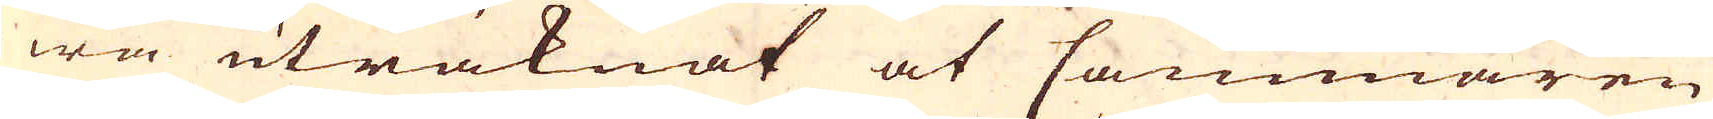wa uträknat at Cammaren
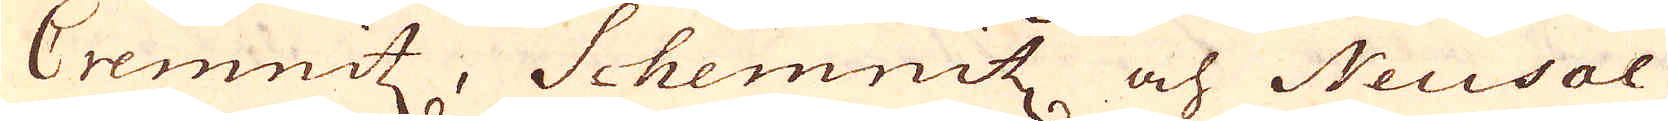Cremnitz, Schemitz och Neusol
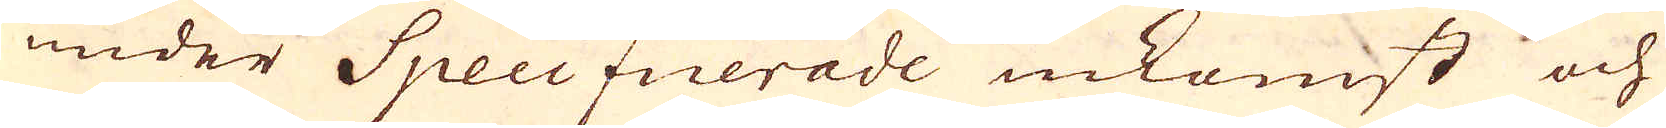under Specificerade inkomst och
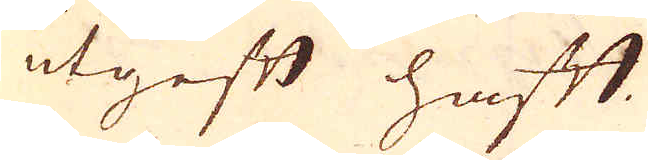utgift haft.
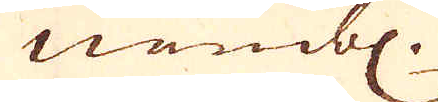nembl
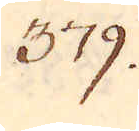379.
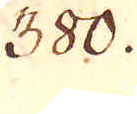380.
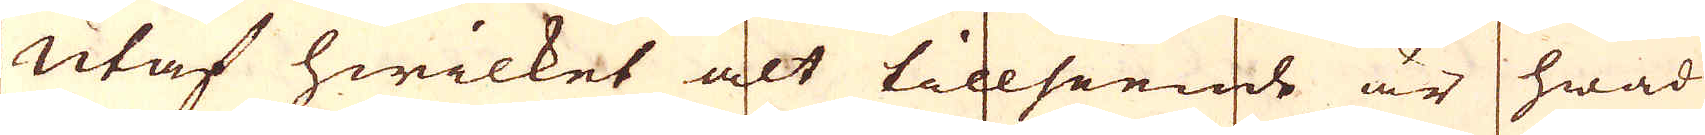Utaf hwilket alt tillseeinde är hwad
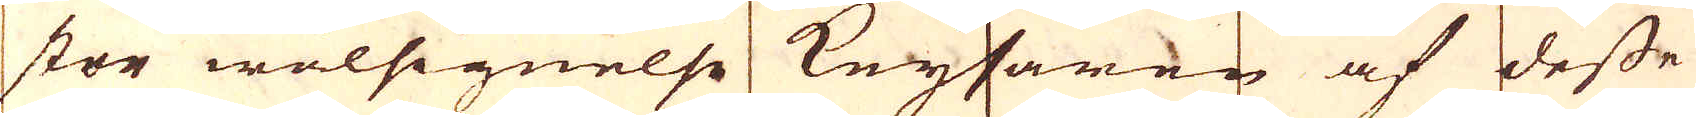stor wälsignelse Keysaren af desse
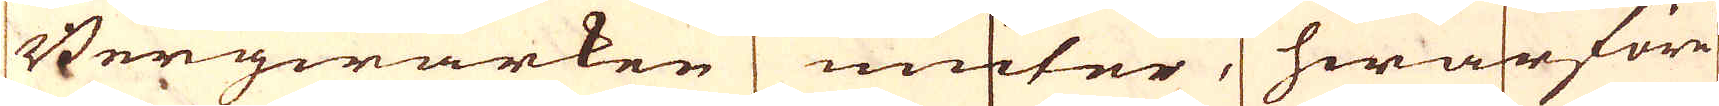Bergwärken niuter, hwarföre
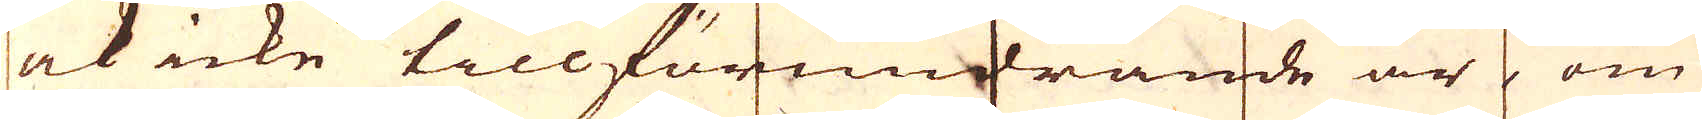ock icke tillförundrande är om
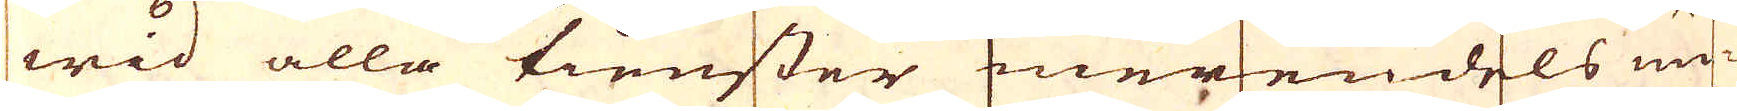wid alla tienster merendels un-
